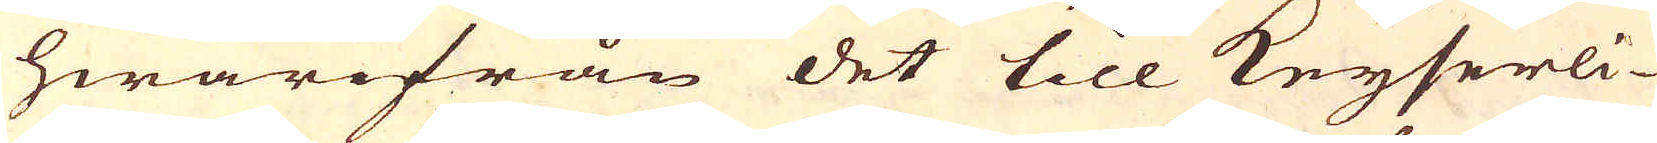hwarifrån det till Keyserli-
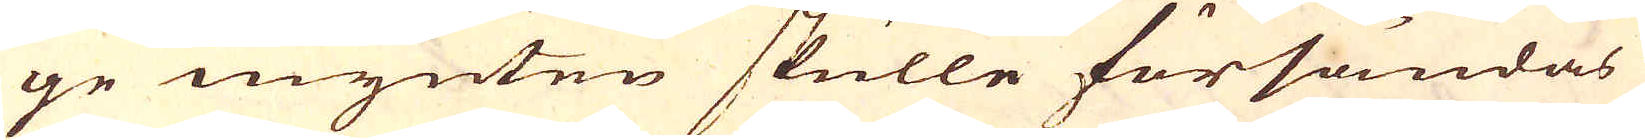ge mynten skulle försändas
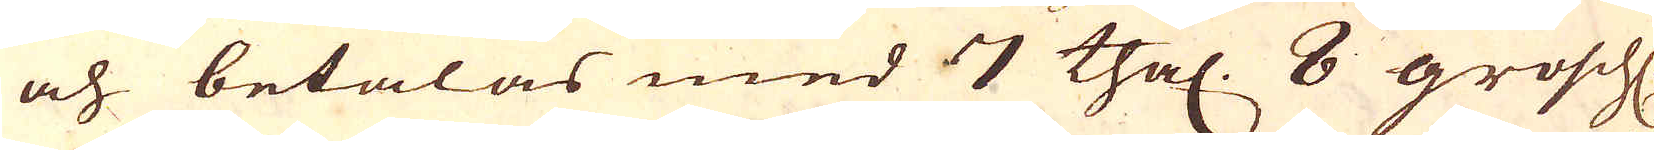och betalas med 7 thal. 8 grosch.
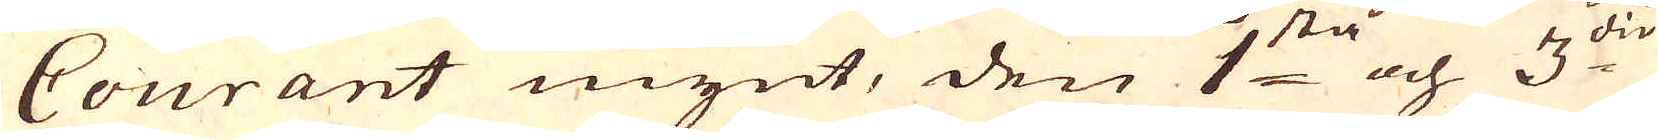Courant mynt, den 1:sta och 3:die
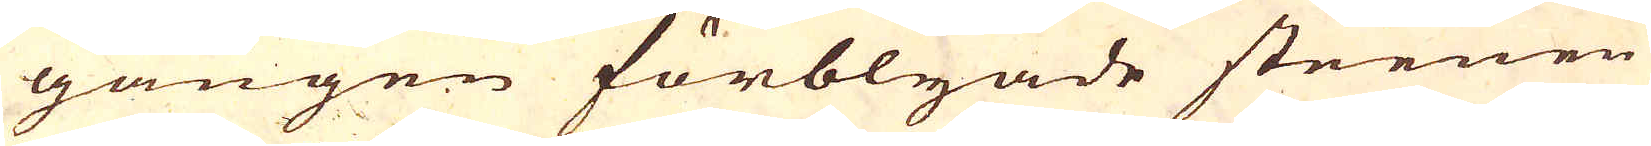gången förblyade steenen
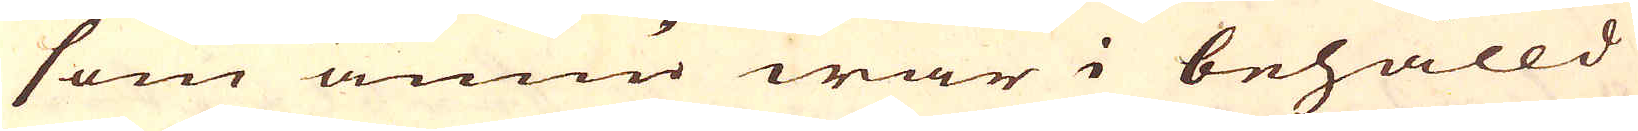som ännu war i behålld
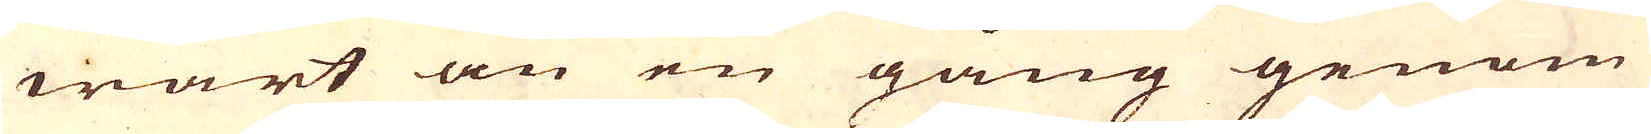wart än en gång genom
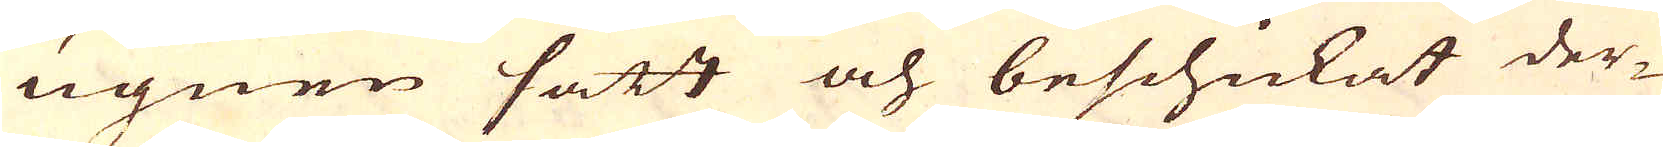ugnen satt och beschickat der-
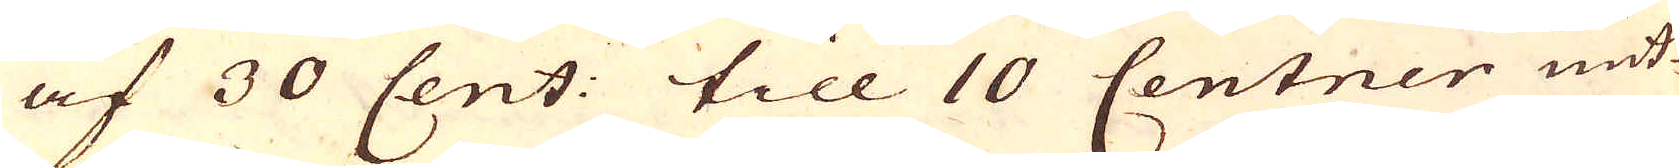af 30 Cent: till 10 Centner mit-
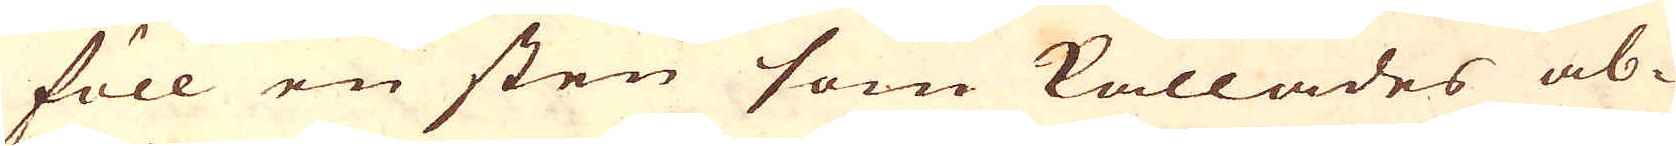föll en sten som kallades ab-
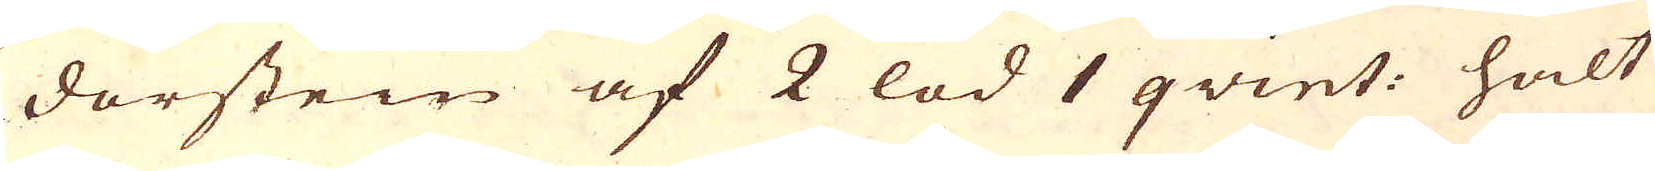dörstein af 2 lod 1 qvint: halt
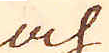och
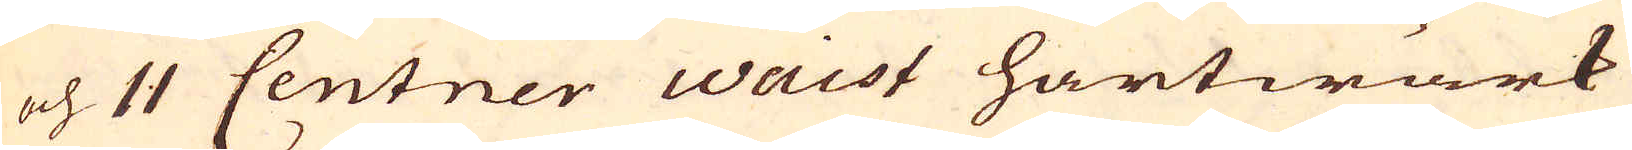och 11 Centner Waist hartwärk
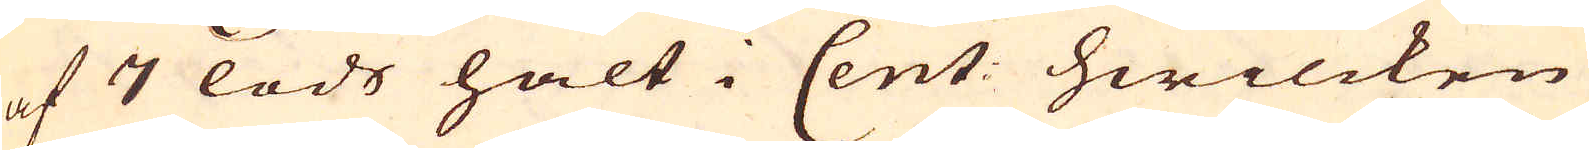af 7 lods halt i Cent: hwilcken
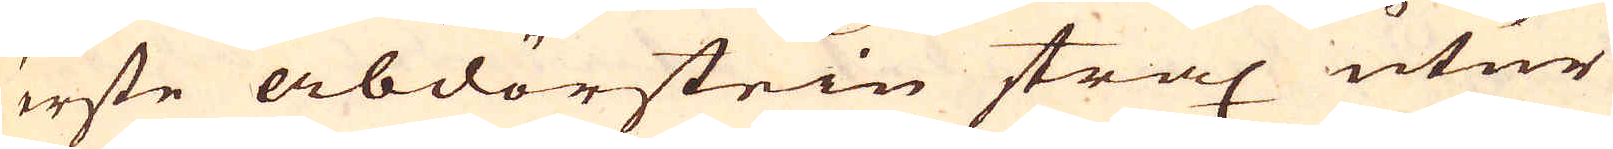erste abdörstein strax utur
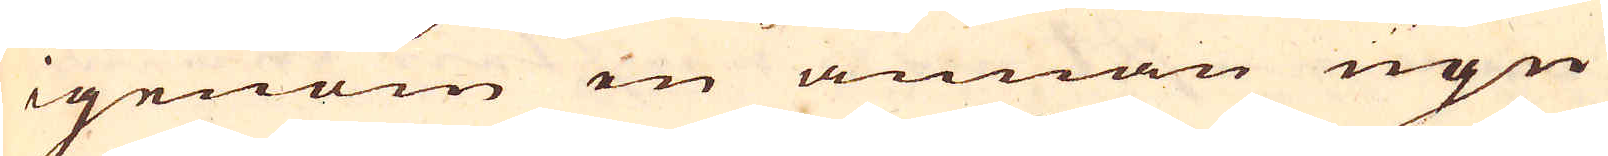igenom en annan ugn
